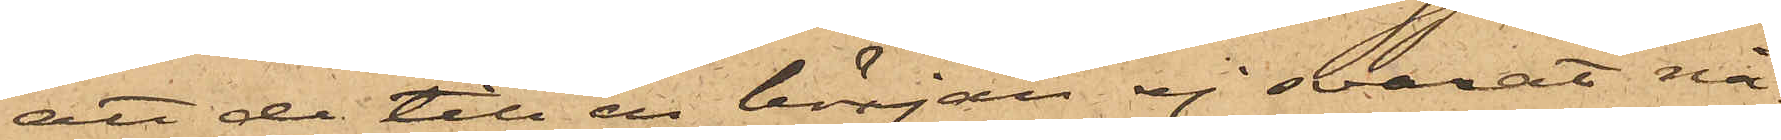att de till en början ej svarat nå¬
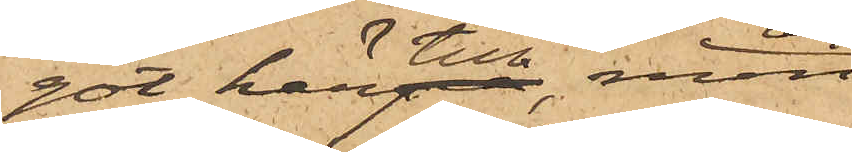got härtill, men
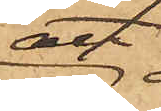att
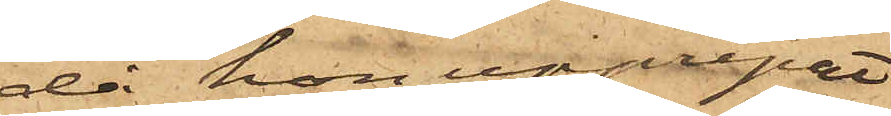då hon upprepat
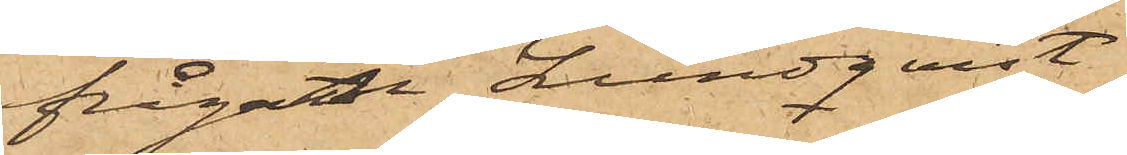frågan, Lundqvist
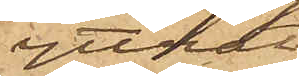yttrat
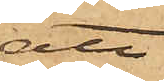att
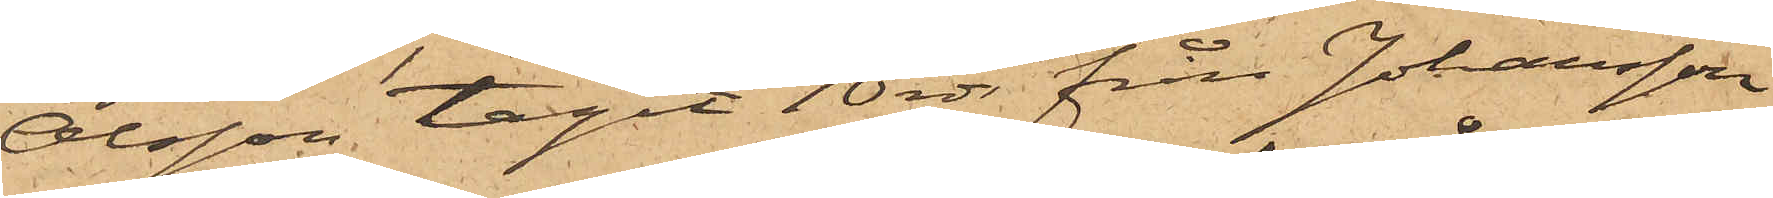Olsson tagit 10 rdr från Johansson
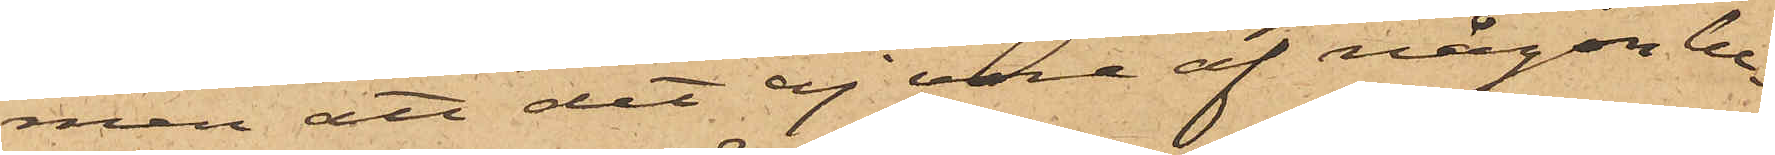men att det ej vore af någon be¬
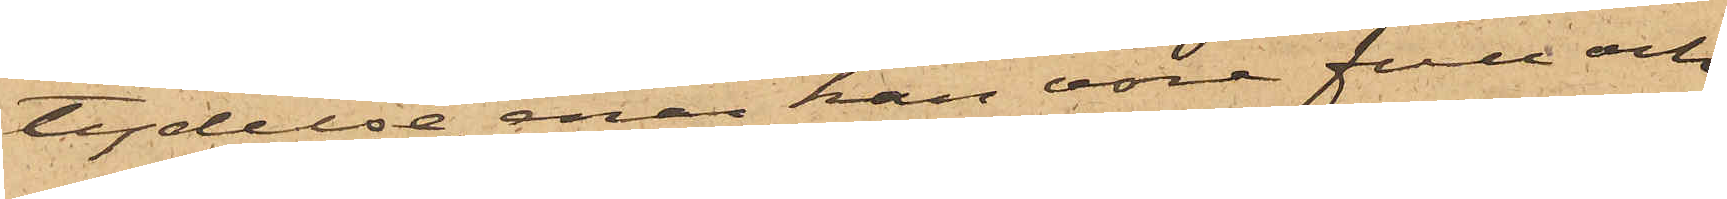tydelse, enär han vore full och
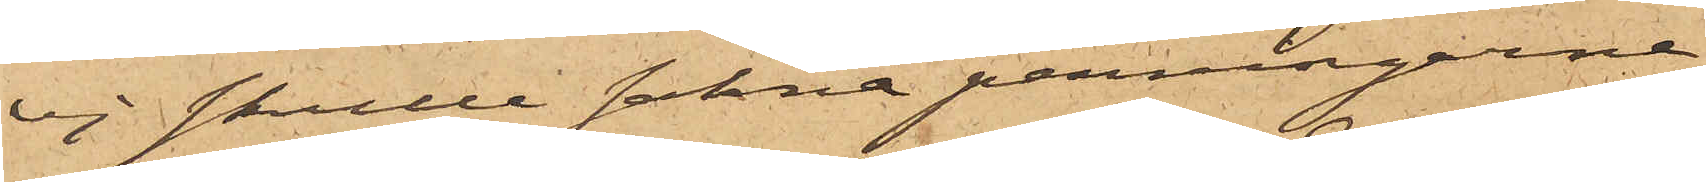ej skulle sakna penningarne;
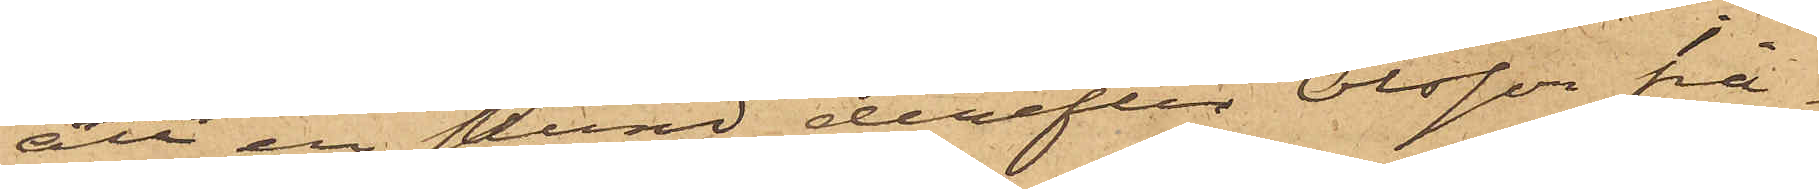att en stund derefter Olsson frå¬
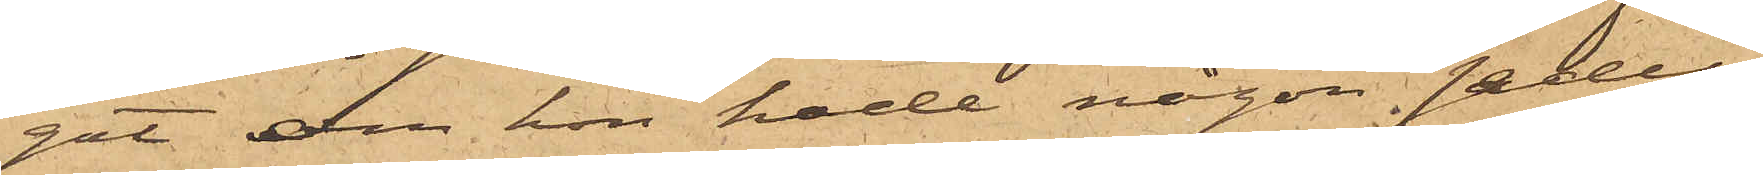gat om hon hade någon sedel
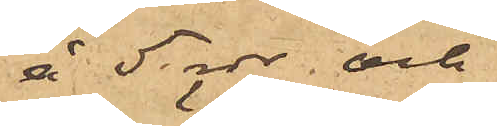å 5 rdr; och
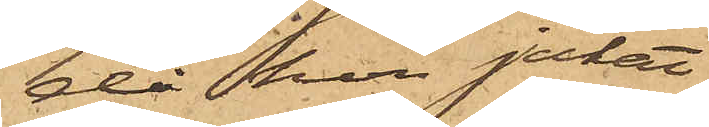då hon jakat
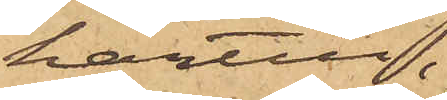härtill,
